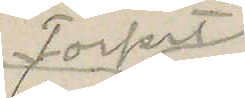Torpet 
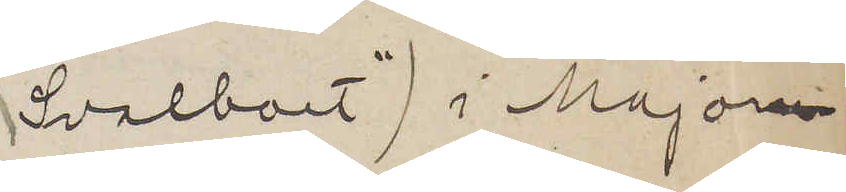"Svalboet" i Major¬
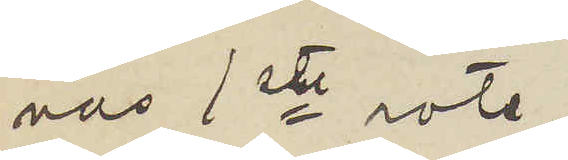nas 1ste rote,
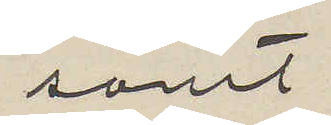samt
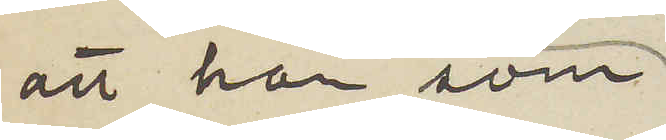att han, som
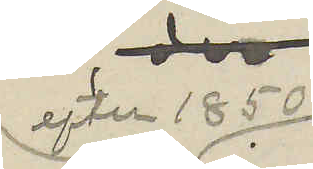efter 1850
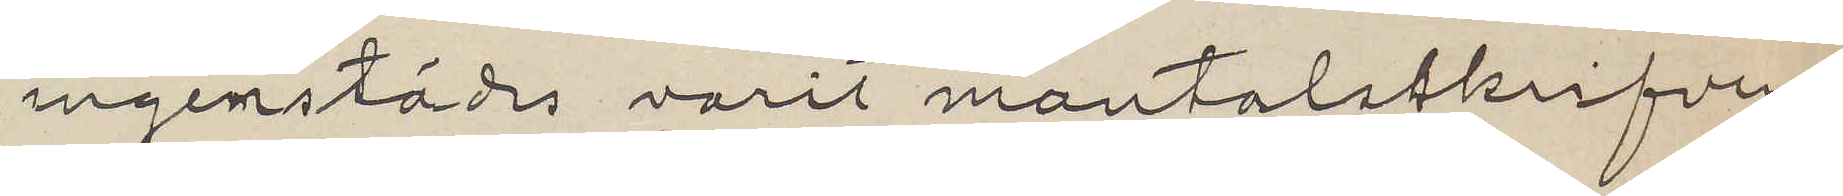ingenstädes varit mantalsskrifven,
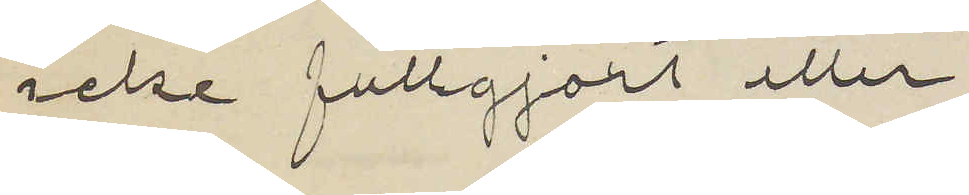icke fullgjort eller
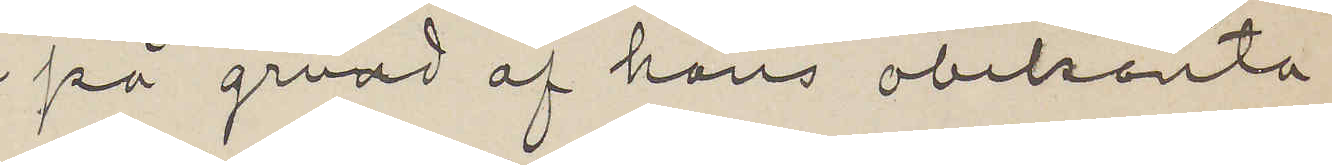på grund af hans obekanta
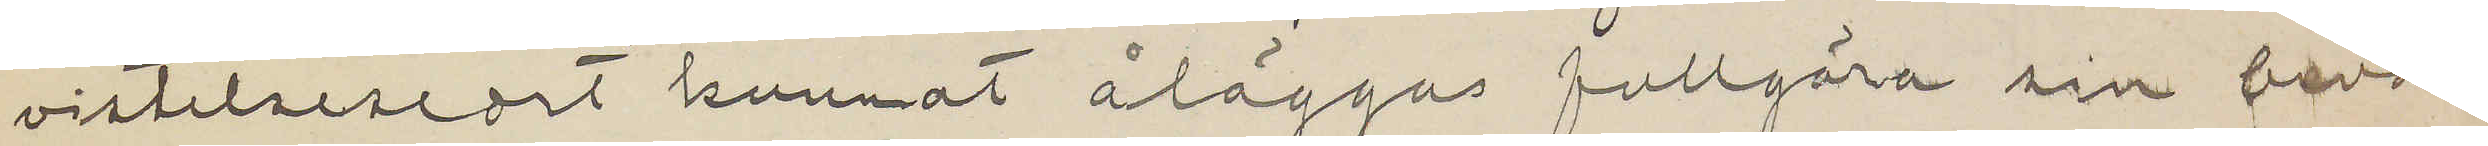vistelseseort kunnat åläggas fullgöra sin bevä¬
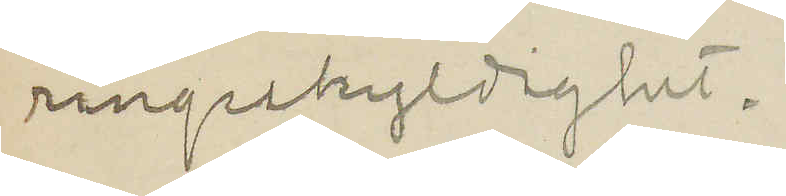ringsskyldighet.
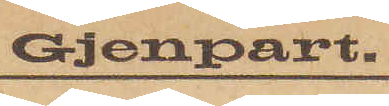Gjenpart.
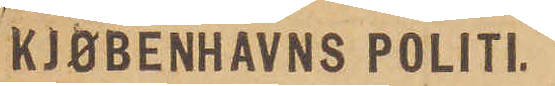KJØBENHAVNS POLITI.
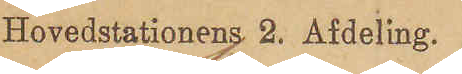Hovedstationens 2. Afdeling.
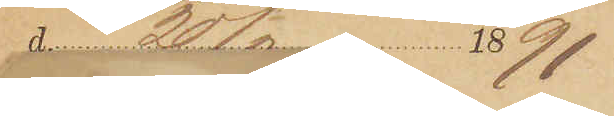d. 20/2 1891
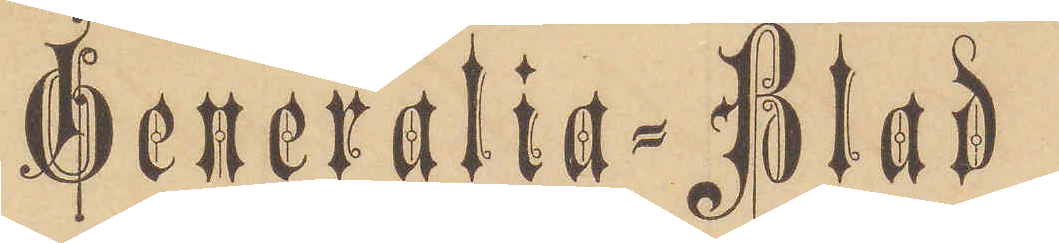Generalia-Blad
